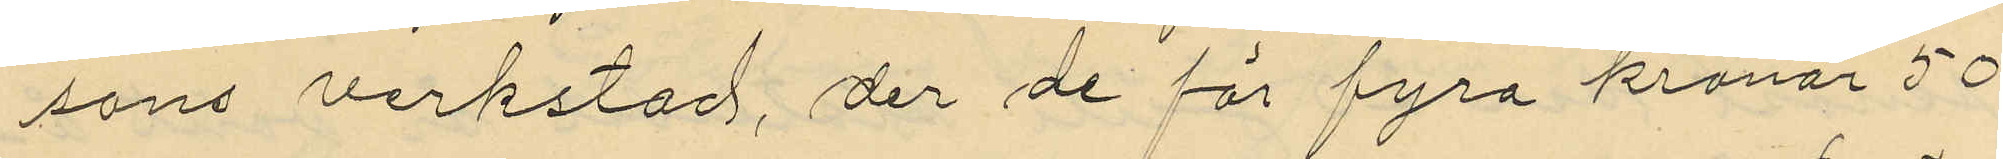sons verkstad, der de för fyra kronor 50
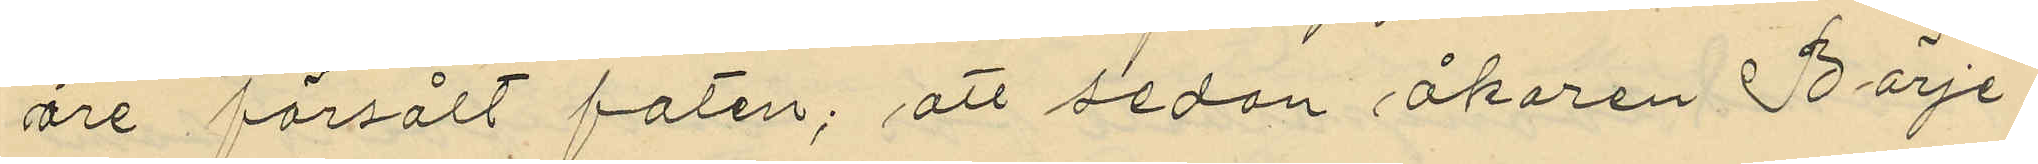öre försålt faten; att sedan åkaren Börje¬
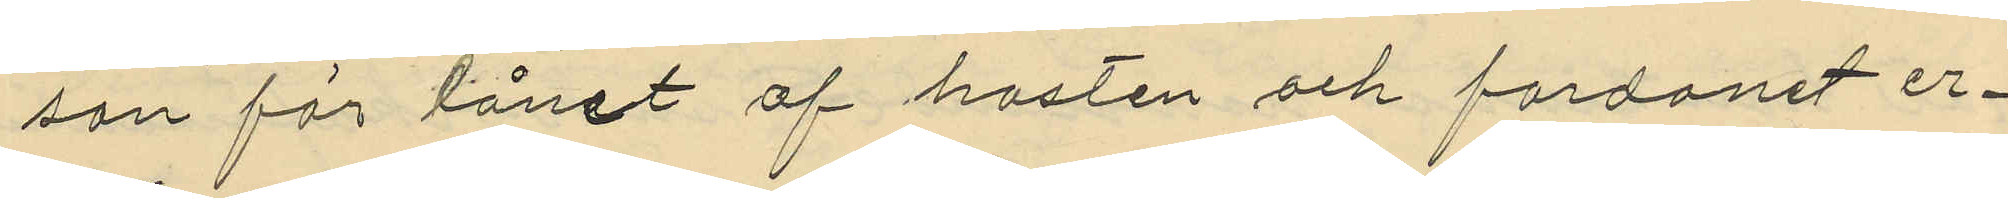son för lånet af hästen och fordonet er¬
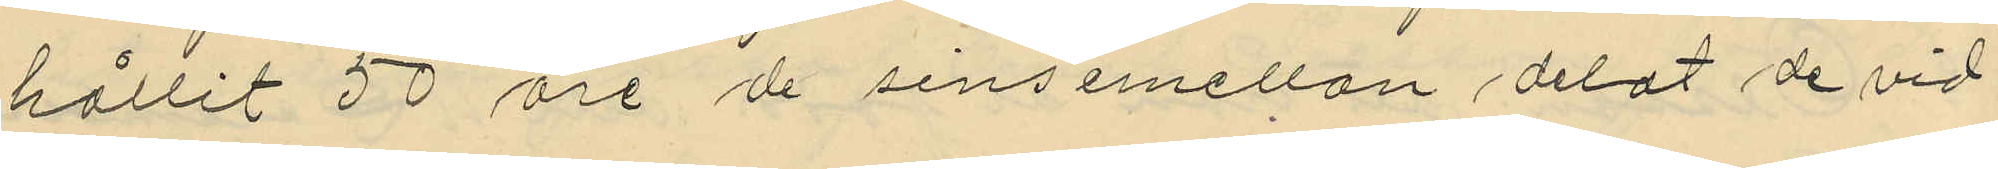hållit 50 öre de sinsemellan delat de vid
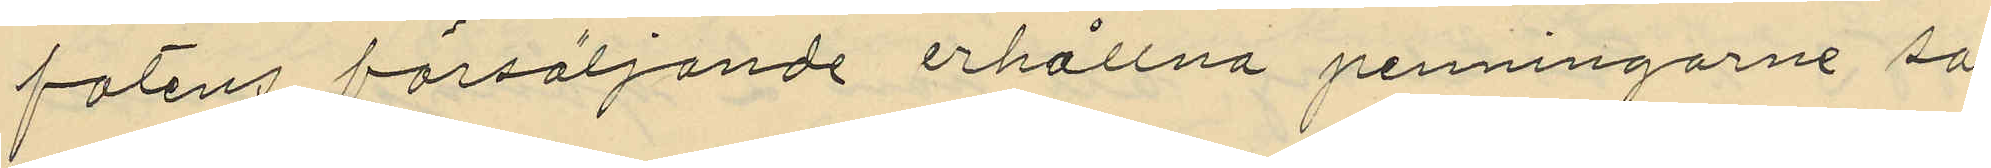fatens försäljande erhållna penningarne så
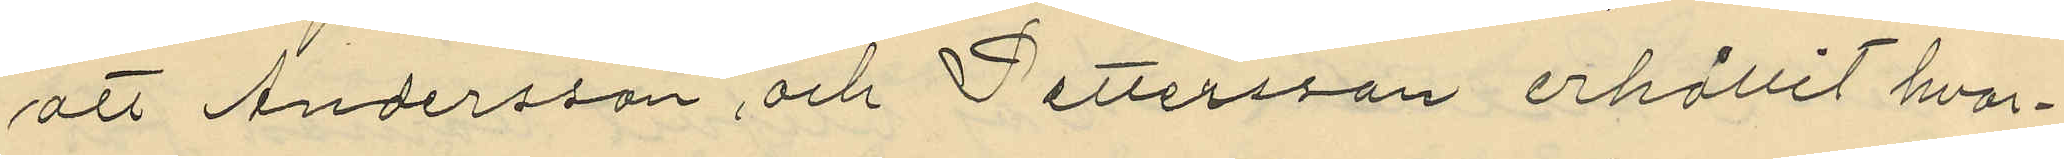att Andersson, och Pettersson erhållit hvar¬
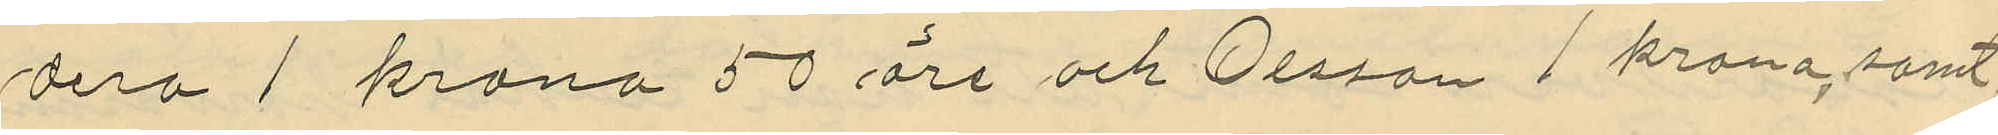dera 1 krona 50 öre och Olsson 1 krona, samt
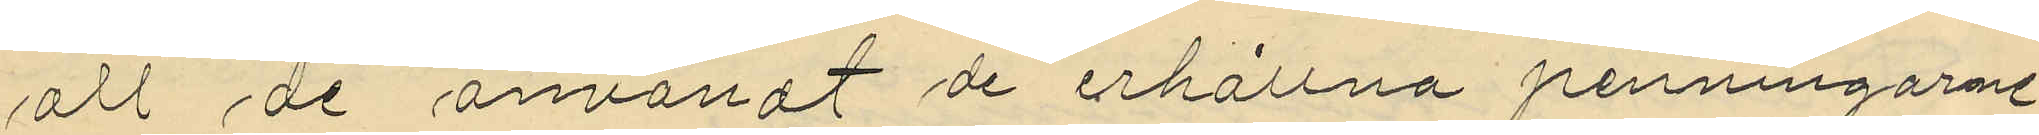att de användt de erhållna penningarne
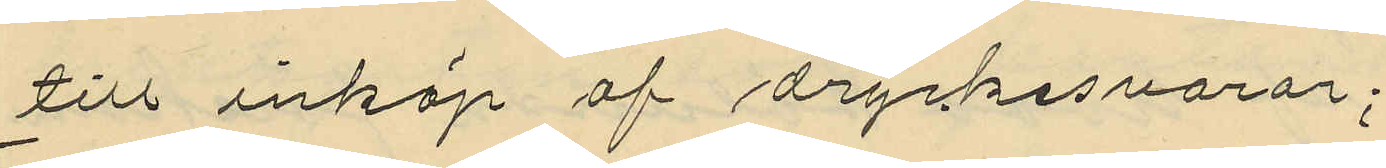till inköp af dryckesvaror;
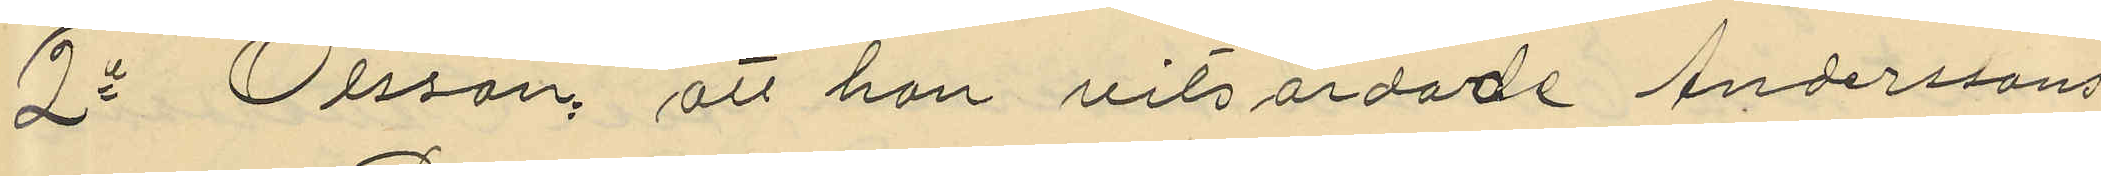2o Olsson, att han vitsordade Anderssons
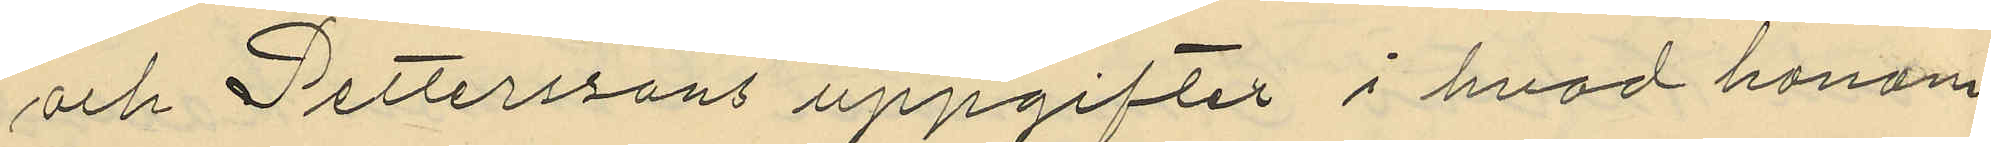och Petterssons uppgifter i hvad honom
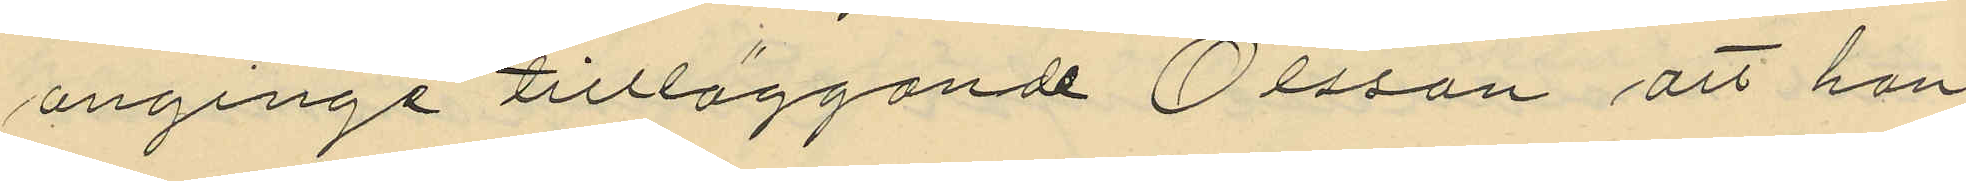anginge tillläggande Olsson att han
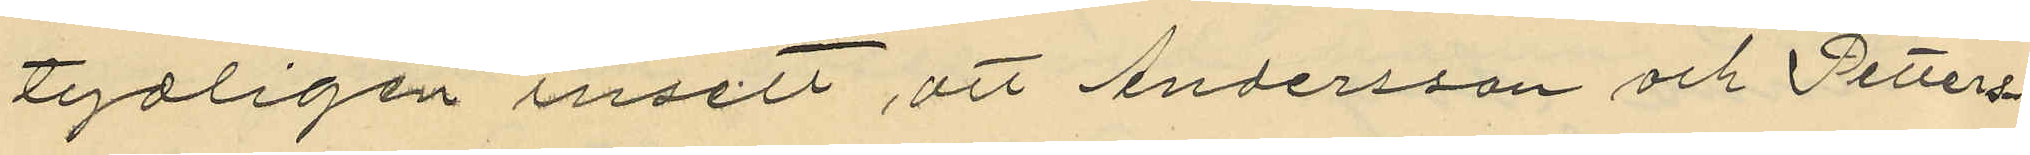tydligen insett, att Andersson och Petters¬
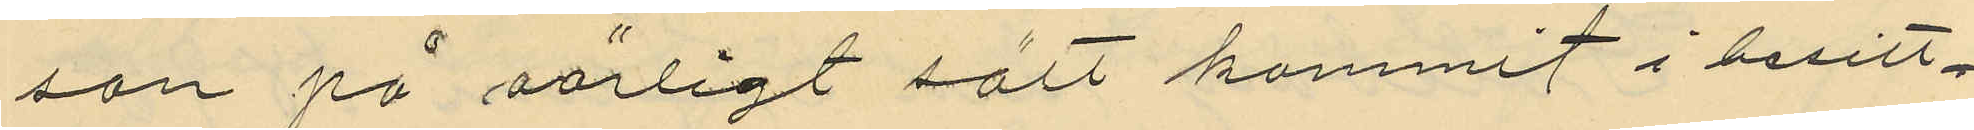son på oärligt sätt kommit i besitt¬
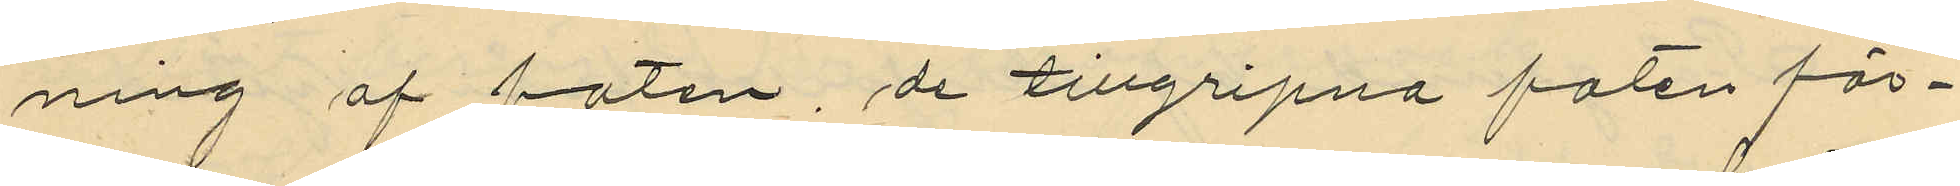ning af faten, de tillgripna faten för¬
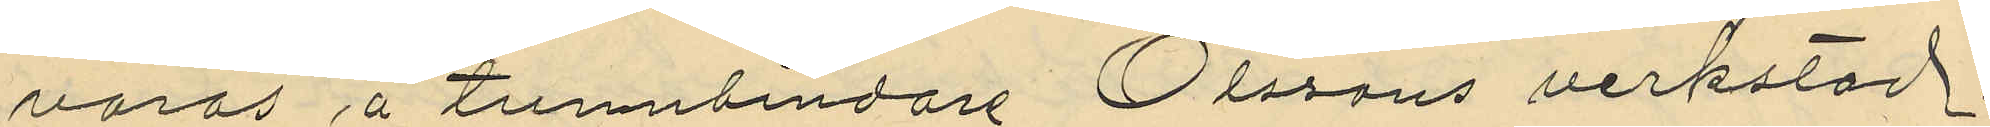varas å tumnbindare Olssons verkstad
